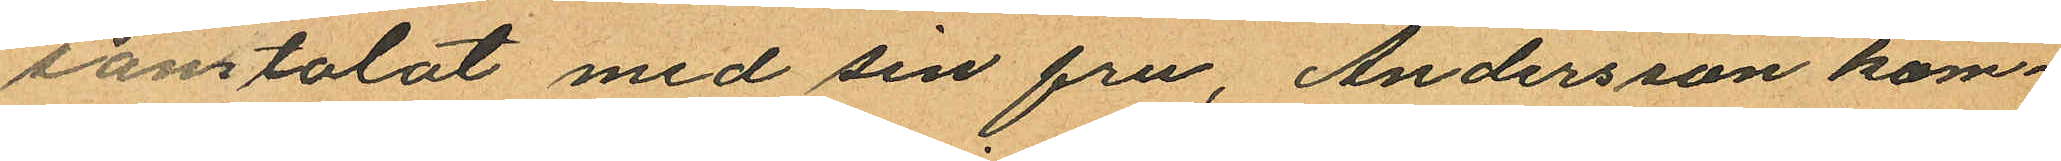samtalat med sin fru, Andersson kom¬
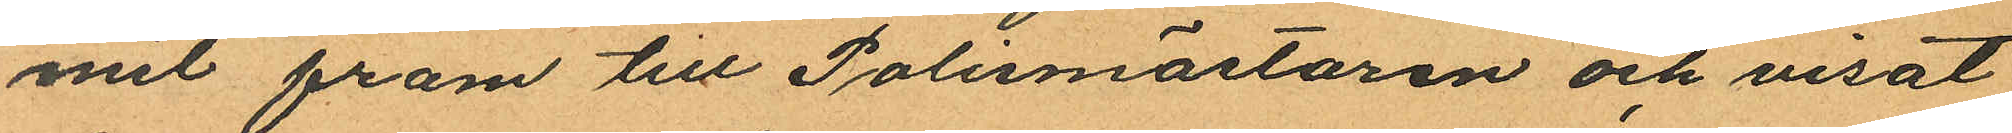mit fram till Polismästaren och visat
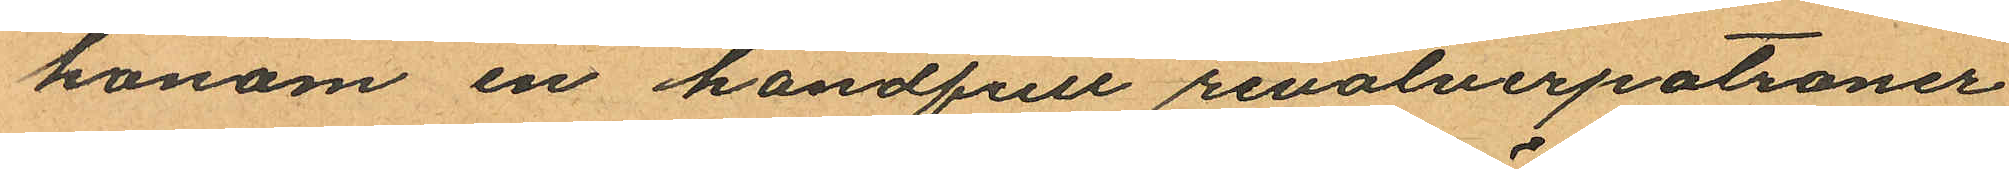honom en handfull revolverpatroner
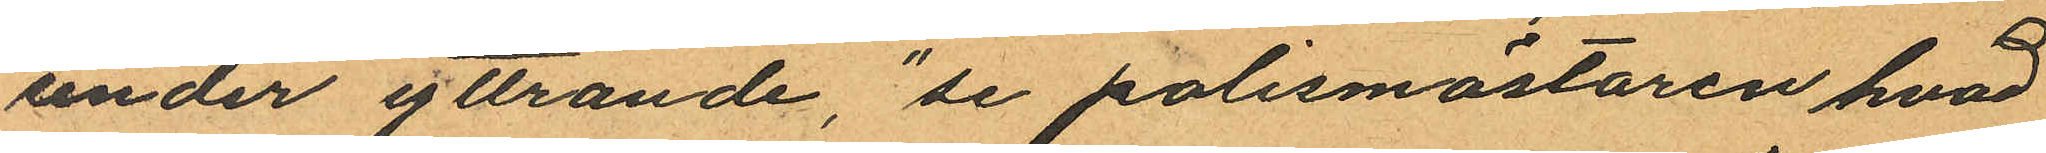under yttrande, "se polismästaren hvad
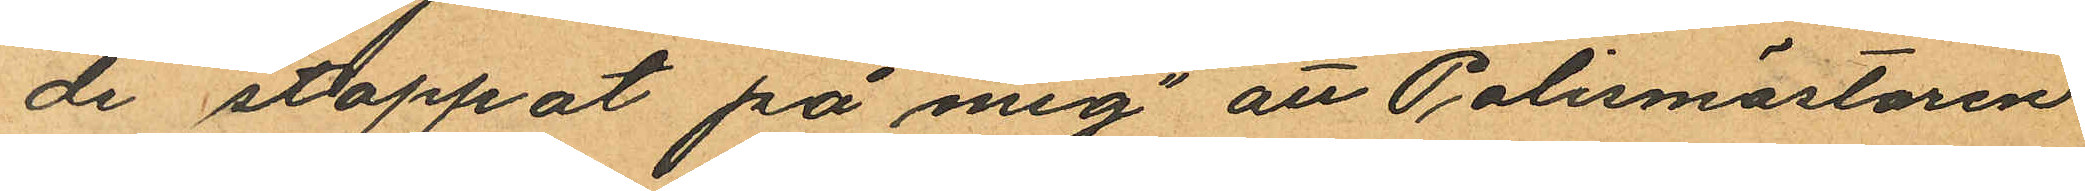de stoppat på mig" att Polismästaren
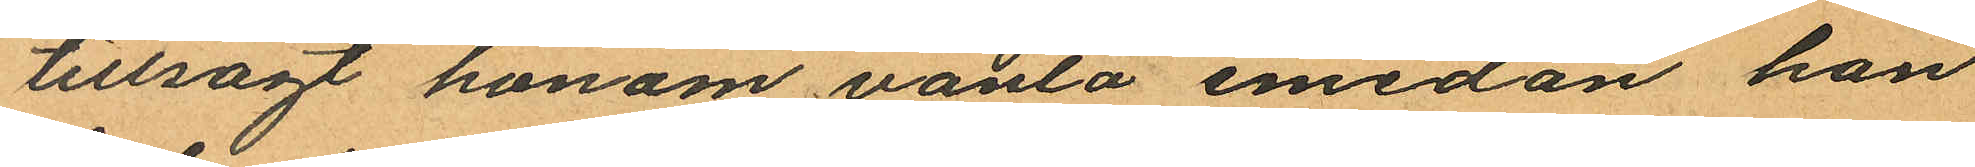tillsagt honom vänta emedan han
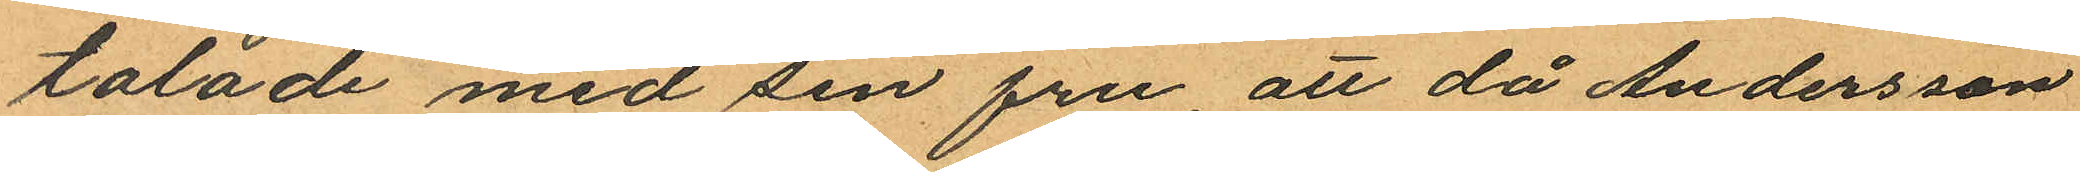talade med sin fru, att då Andersson
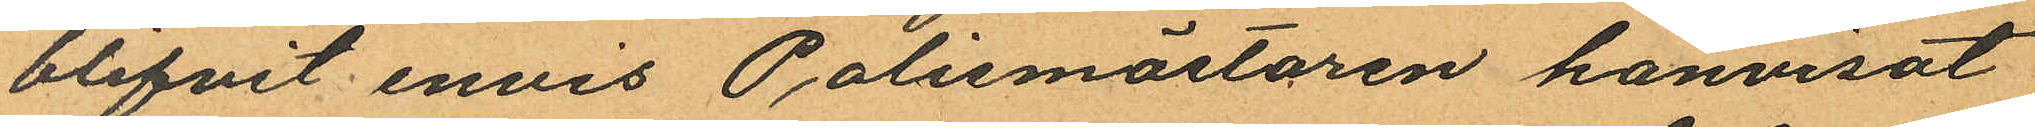blifvit envis Polismästaren hänvisat
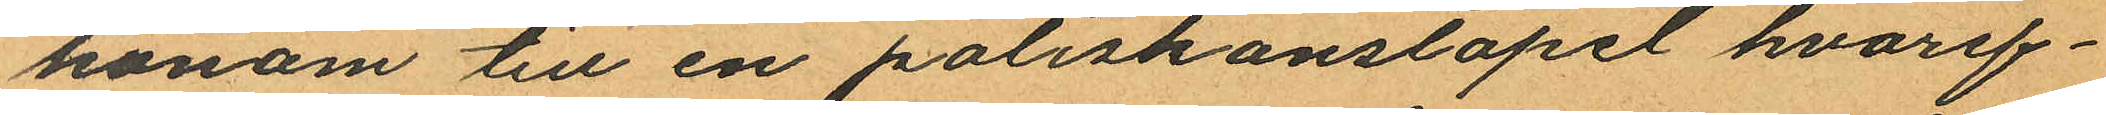honom till en poliskonstapel hvaref¬
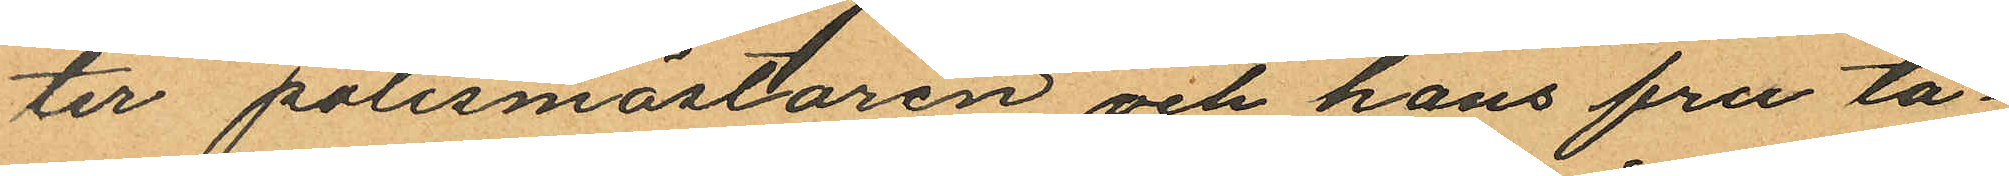ter polismästaren och hans fru ta¬
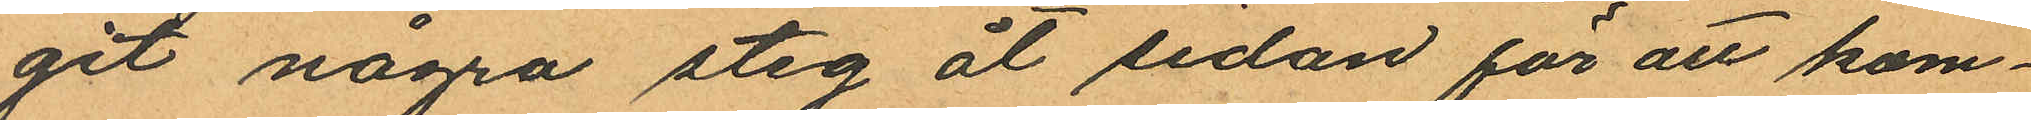git några steg åt sidan för att kom¬
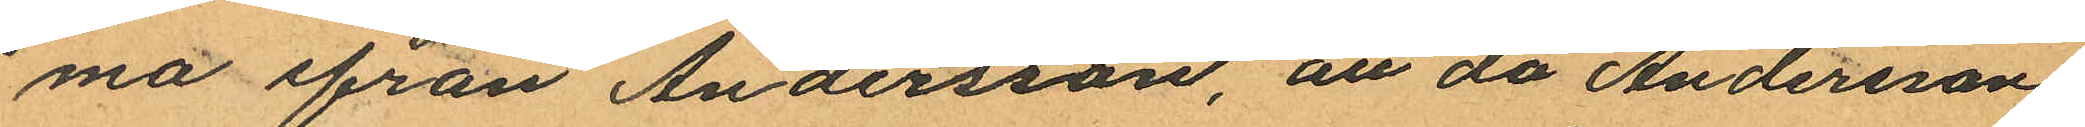ma ifrån Andersson, att då Andersson
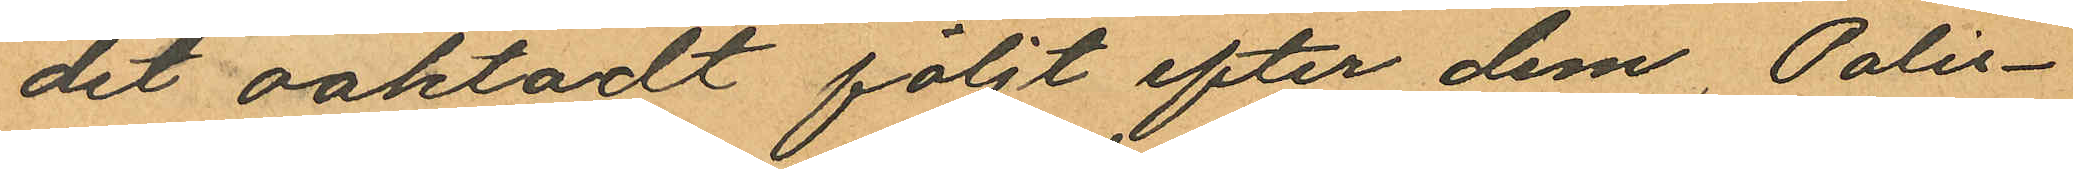det oaktadt följt efter dem, Polis¬
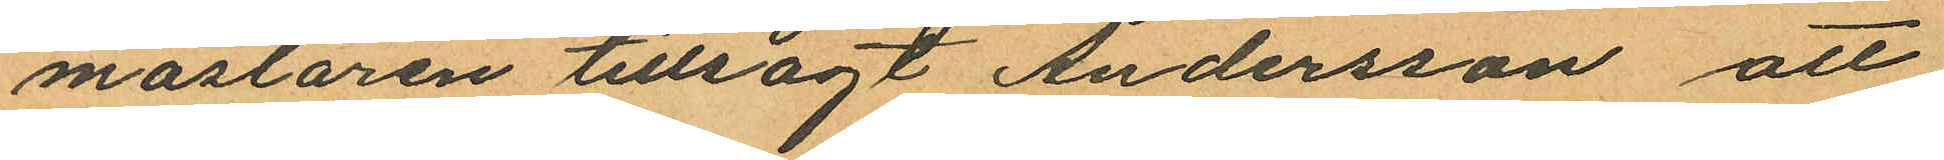mästaren tillsagt Andersson att
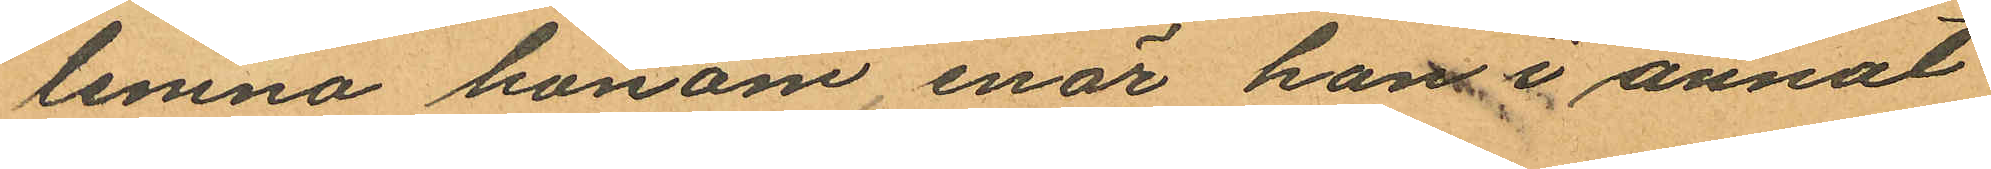lemna honom, enär han i annat
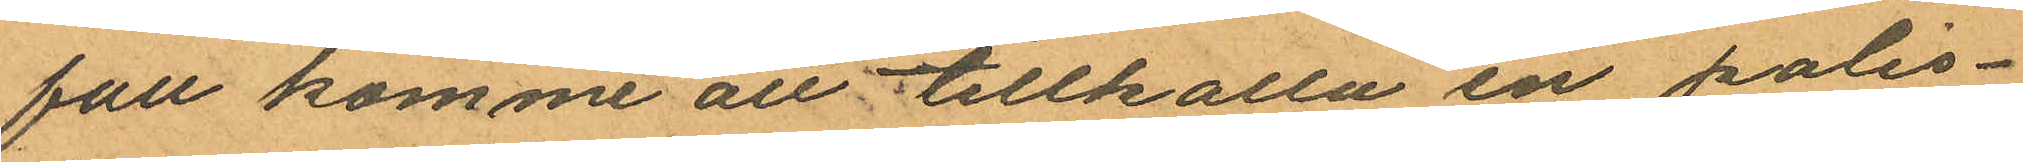fall komme att tillkalla en polis¬
